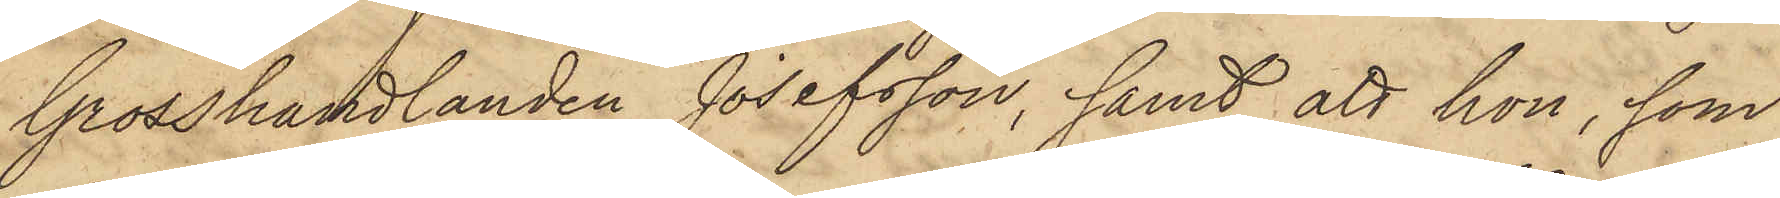Grosshandlanden Josefsson, samt att hon, som
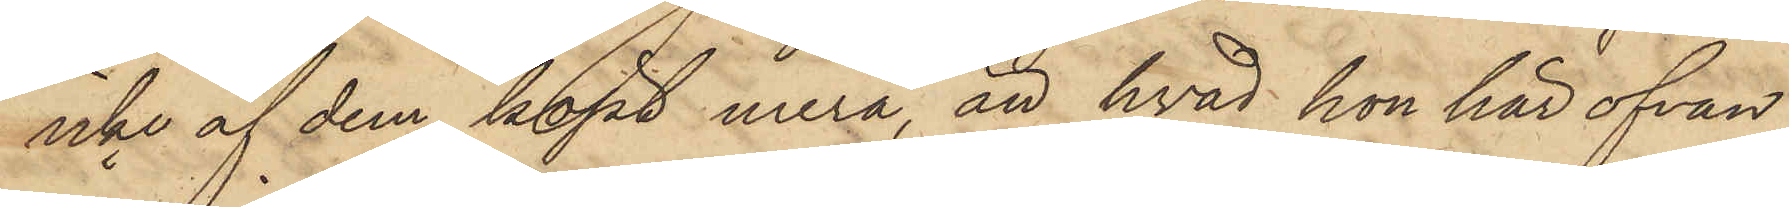icke af dem köpt mera, än hvad hon här ofvan
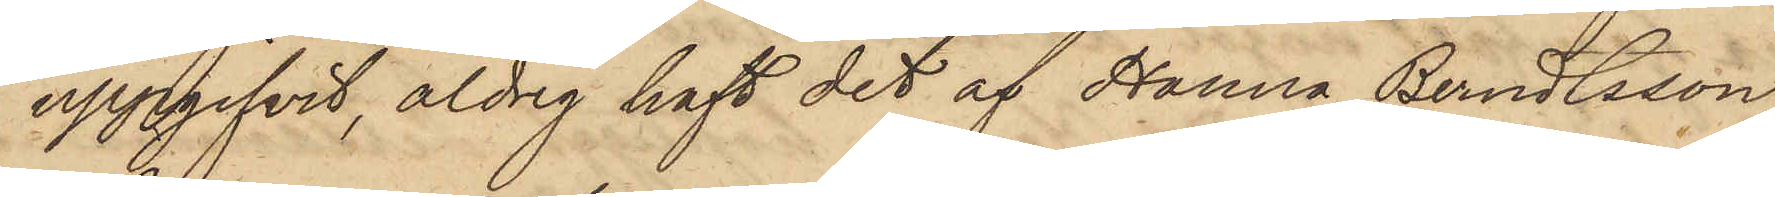uppgifvit, aldrig haft det af Hanna Berndtsson
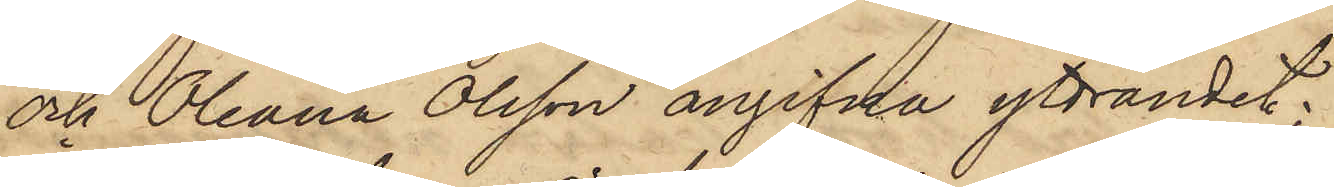och Oleana Olsson angifna yttrandet;
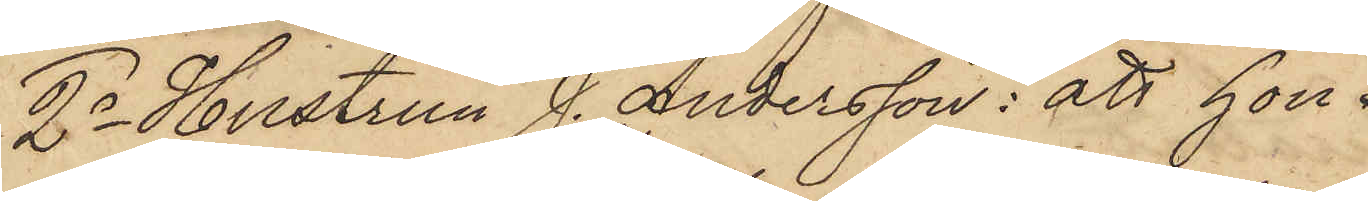2o Hustrun J. Andersson: att hon
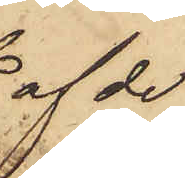af de
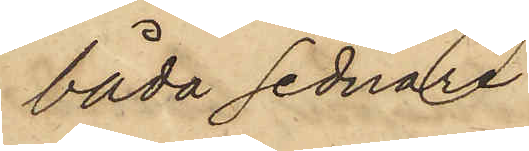båda sednare
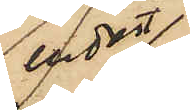endast
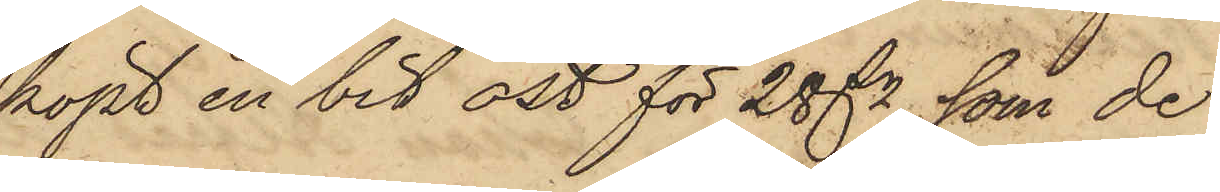köpt en bit ost för 28 dr, som de
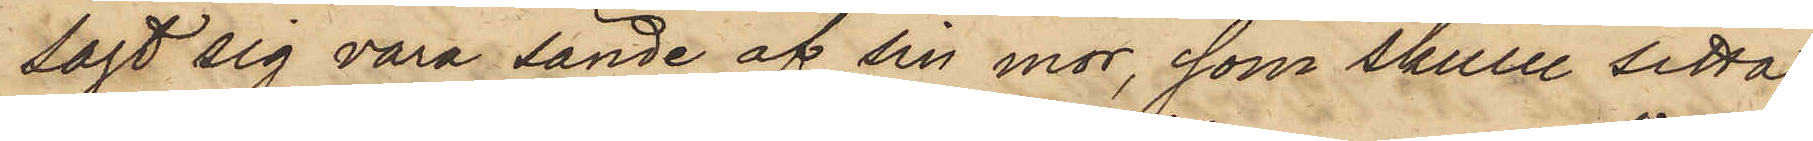sagt sig vara sände af sin mor, som skulle setta
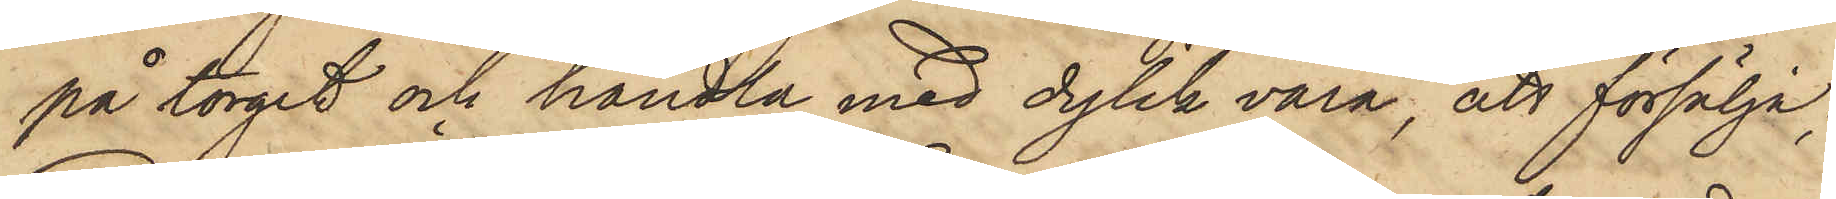på torget och handla med dylik vara, att försälja;
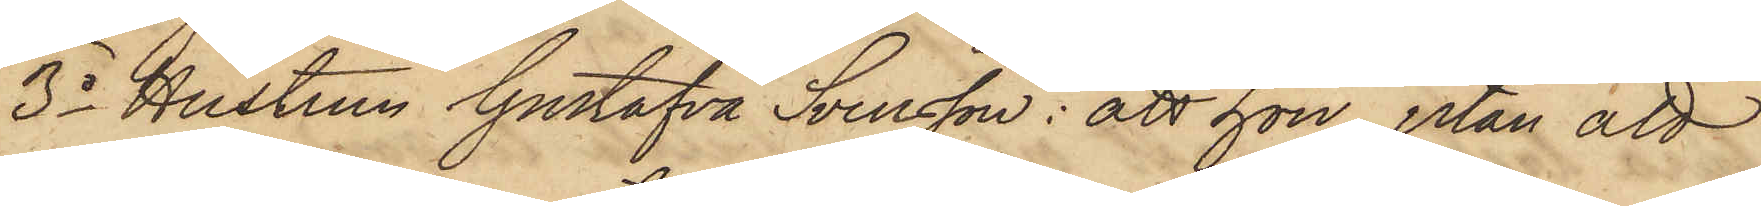3o Hustrun Gustafva Svensson: att hon, utan att
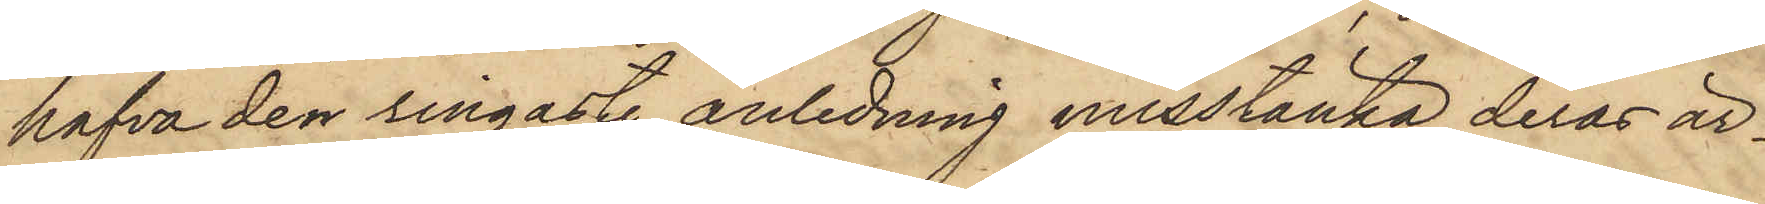hafva den ringaste anledning misstänka deras är¬
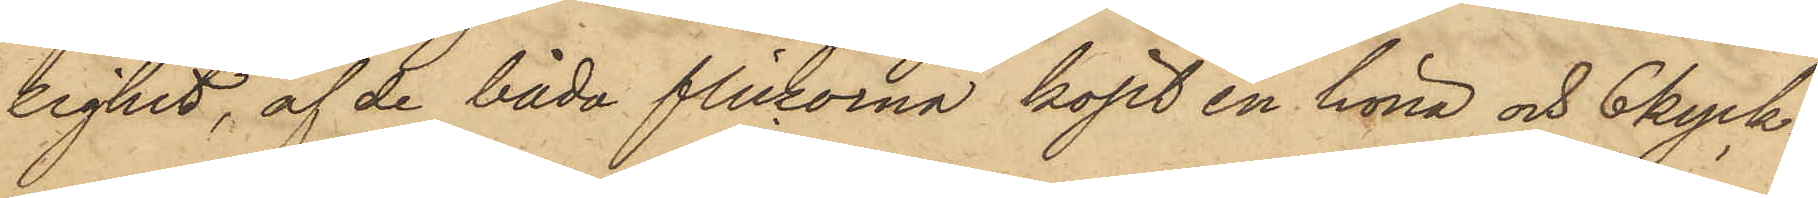lighet, af de båda flickorna köpt en höna och 6 kyck¬
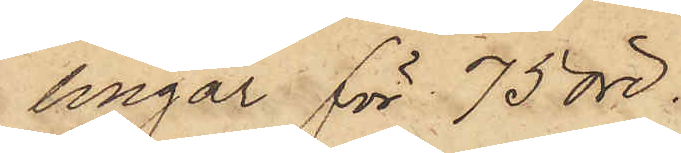lingar för 75 öre.
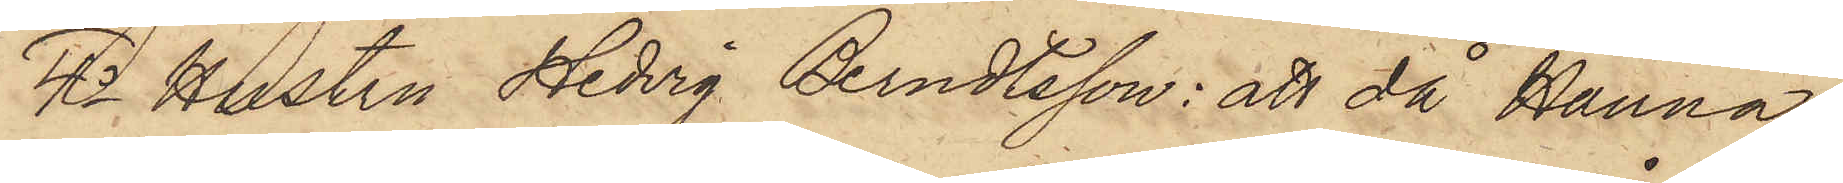4o Hustru Hedvig Berndtsson: att då Hanna
